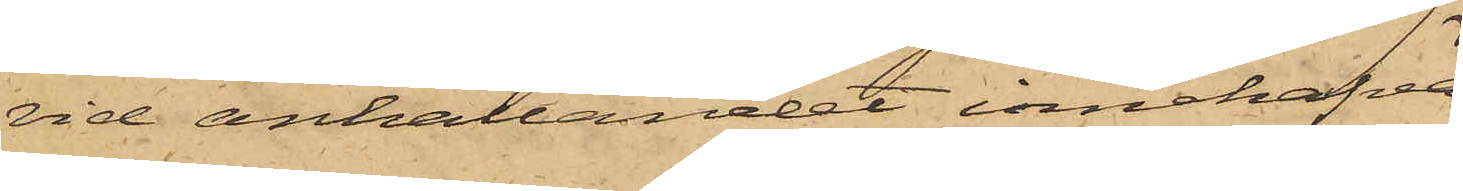vid anhållandet innehafva
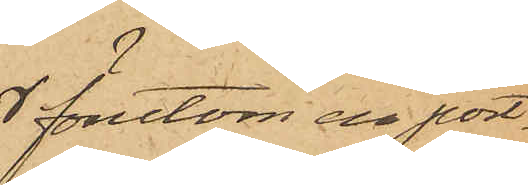förutom en port¬
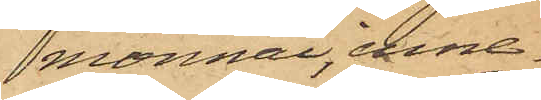monnai, inne¬
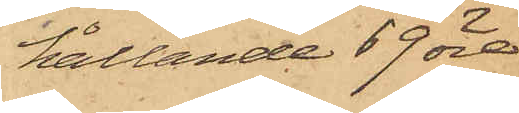hållande 69 öre
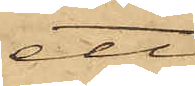ett
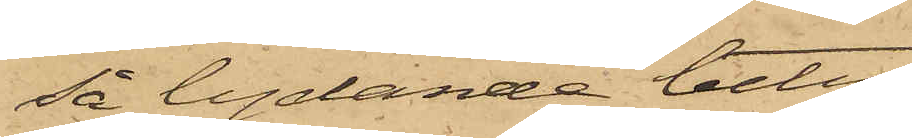så lydande betyg
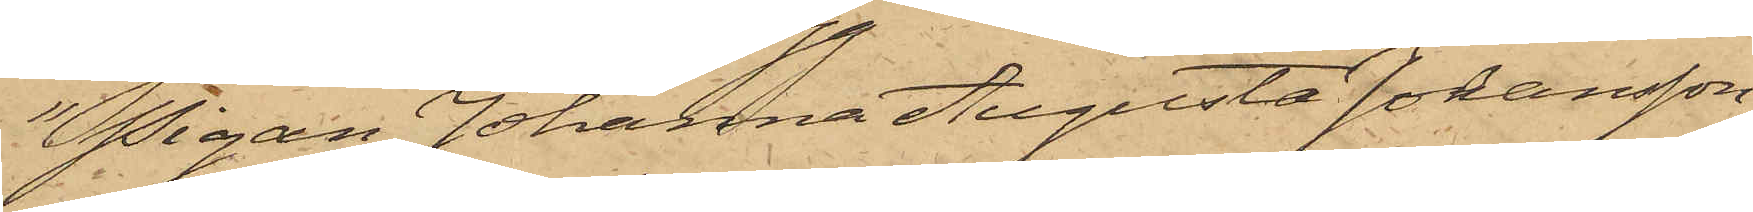"Pigan Johanna Augusta Johansson
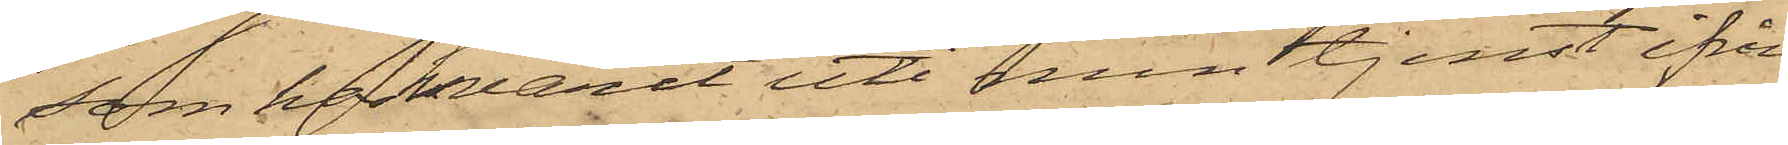som har varit uti min tjenst ifrån
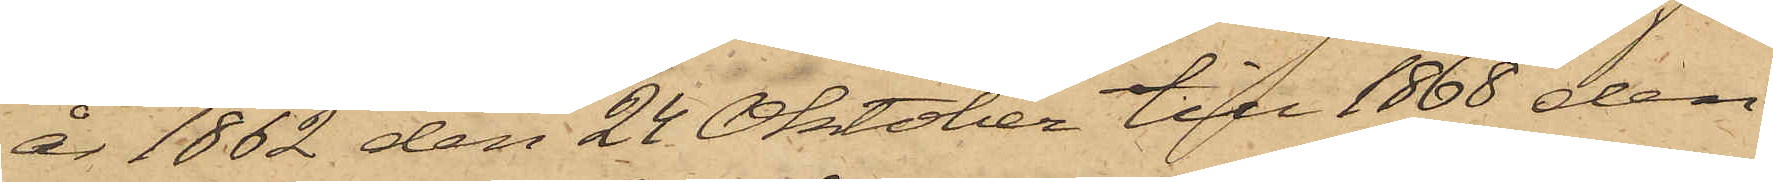år 1862 den 24 Oktober till 1868 den
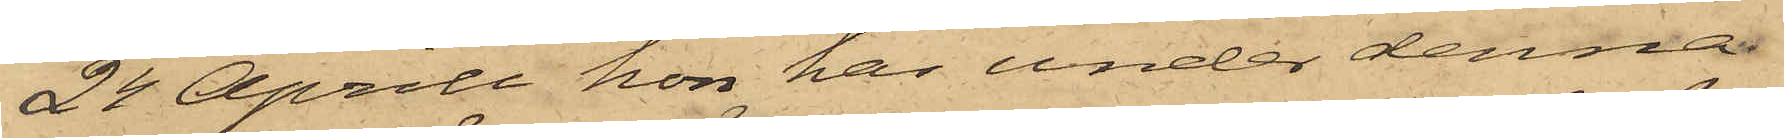24 April hon har under denna
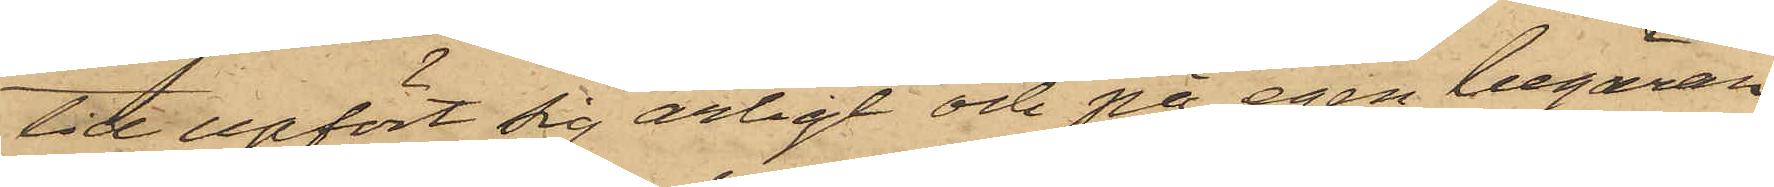tid upfört sig ärligt och på egen begäran
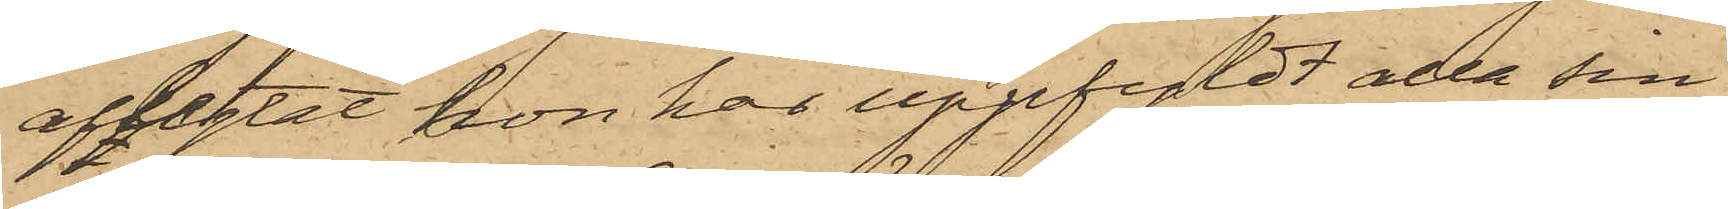afflytat hon har uppfyldt alla sin
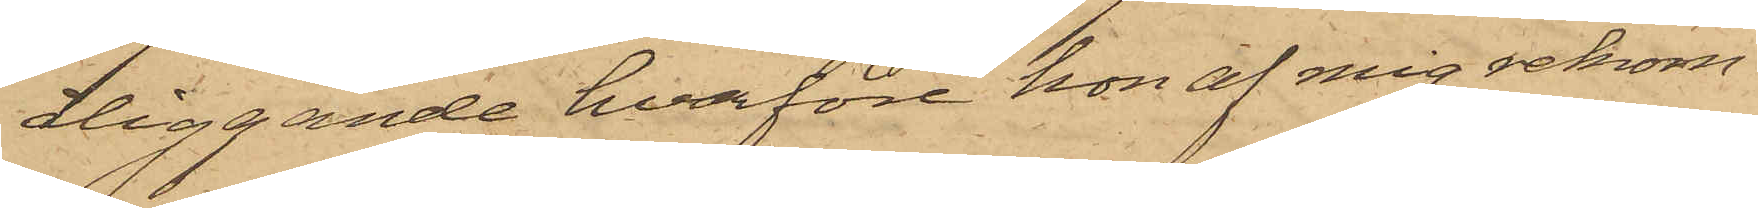åliggande hvarföre hon af mig rekom¬
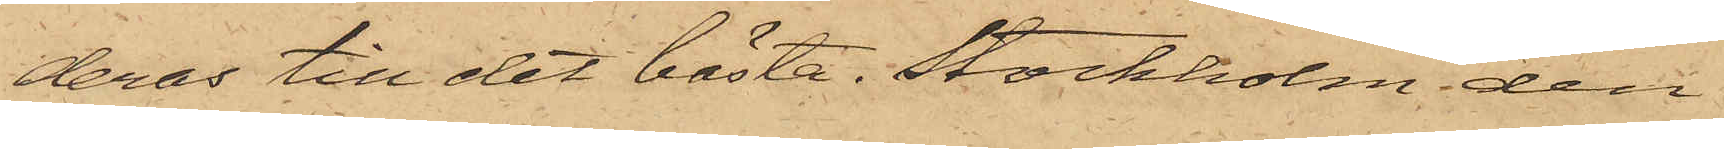deras till det bästa. Stockholm den
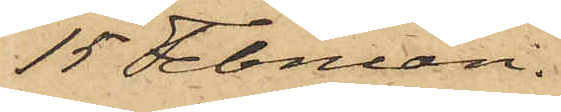15 Februari.
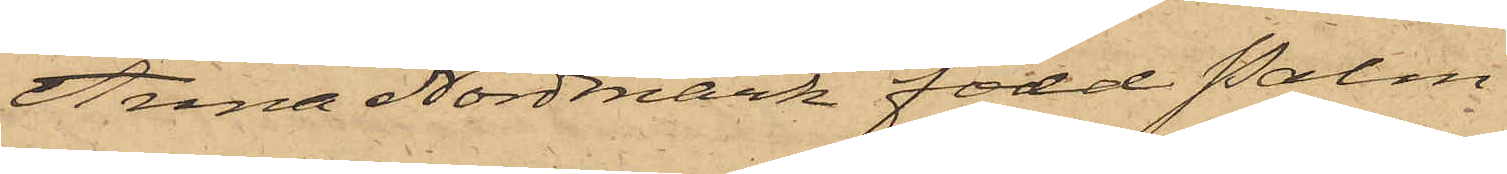Anna Nordmark född Palm
